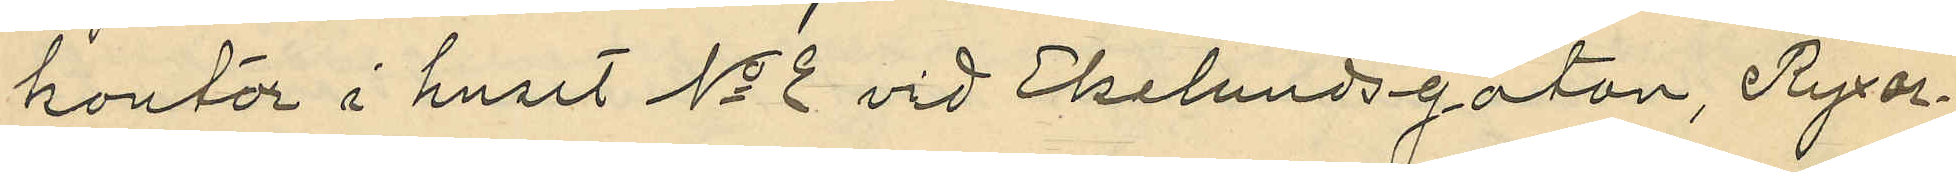kontor i huset No 2 vid Ekelundsgatan, Byxor¬
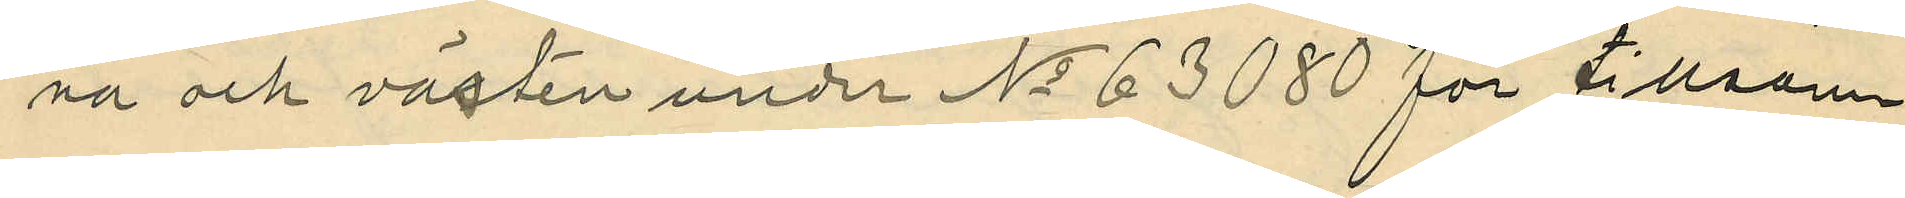na och västen under No 63080 för tillsam¬
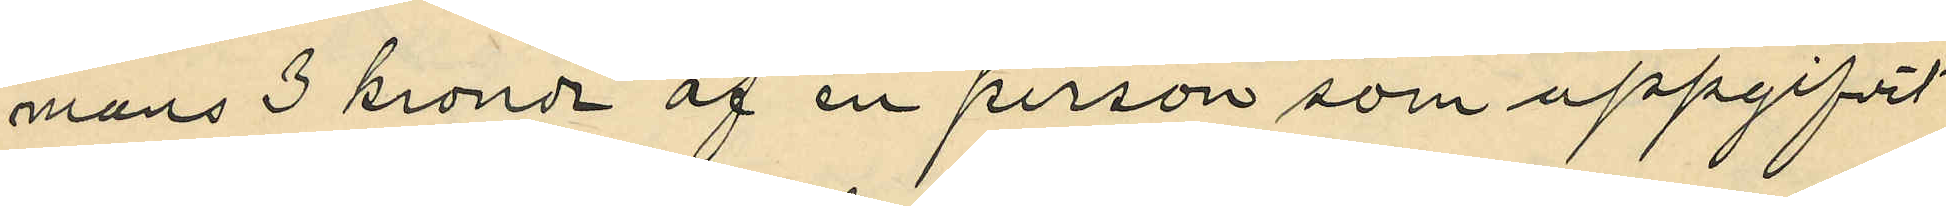mans 3 kronor af en person som uppgifvit
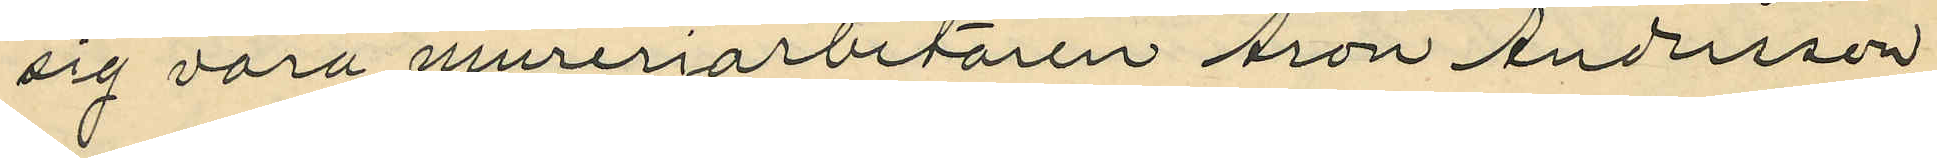sig vara mureriarbetaren Aron Andersson
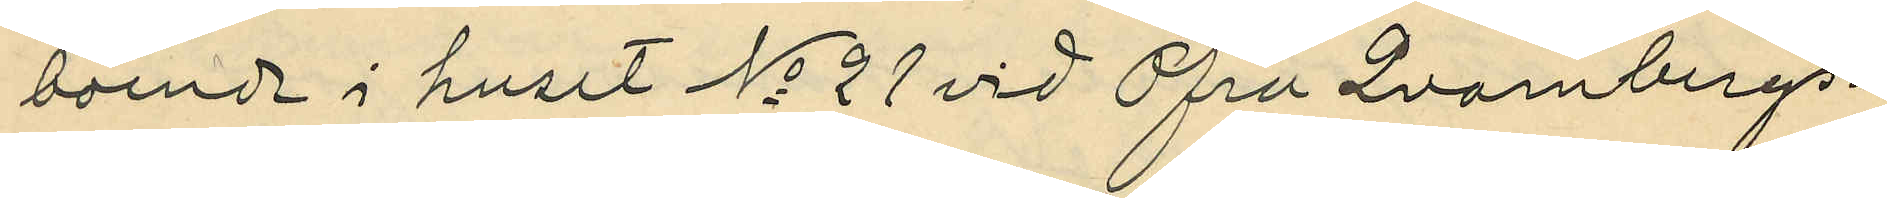boende i huset No 21 vid Öfra Qvarnbergs¬
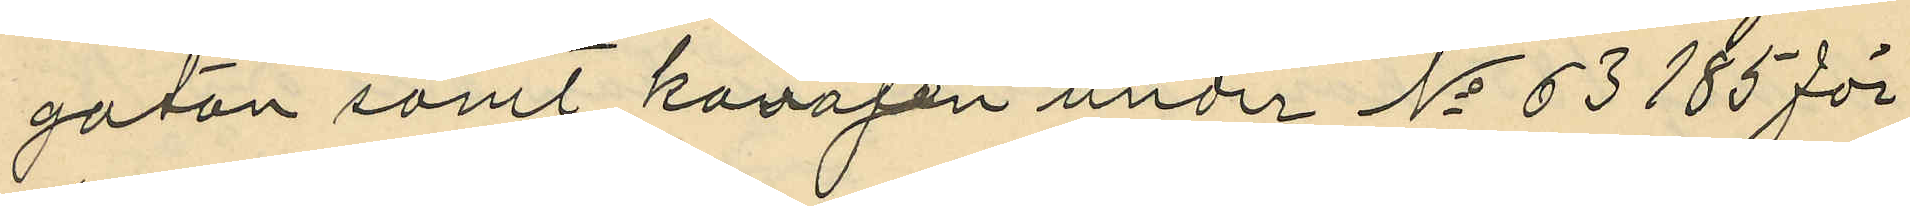gatan samt kavajen under No 63185 för
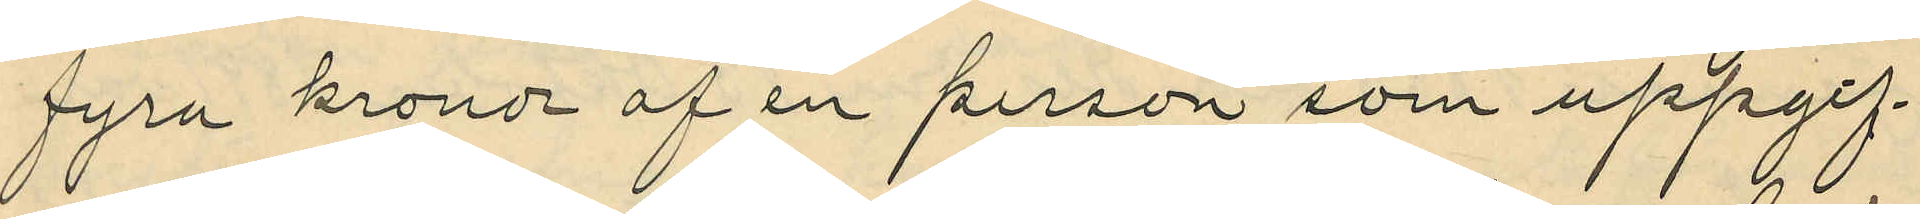fyra kronor af en person som uppgif¬
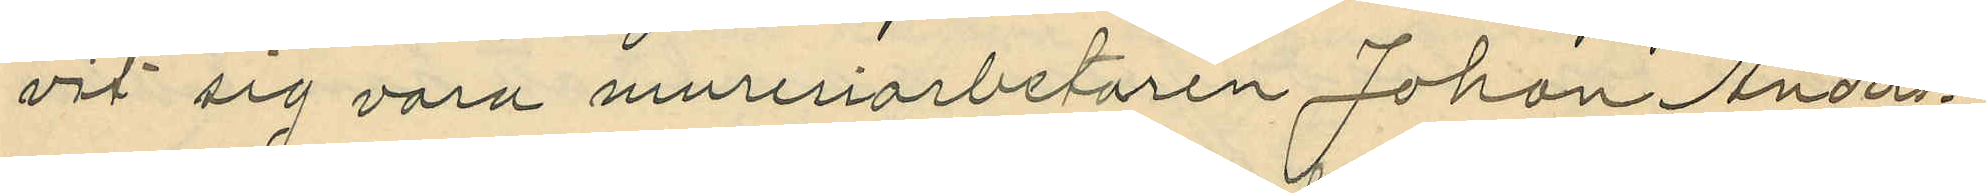vit sig vara mureriarbetaren Johan Anders¬
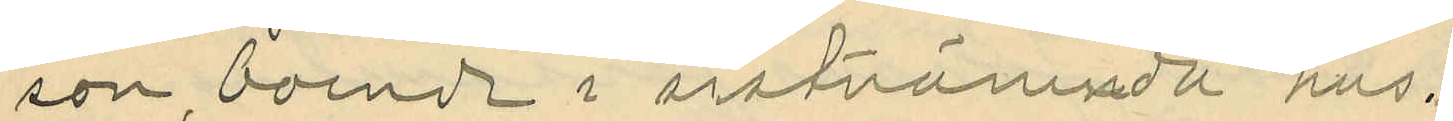son, boende i sistnämnda hus.
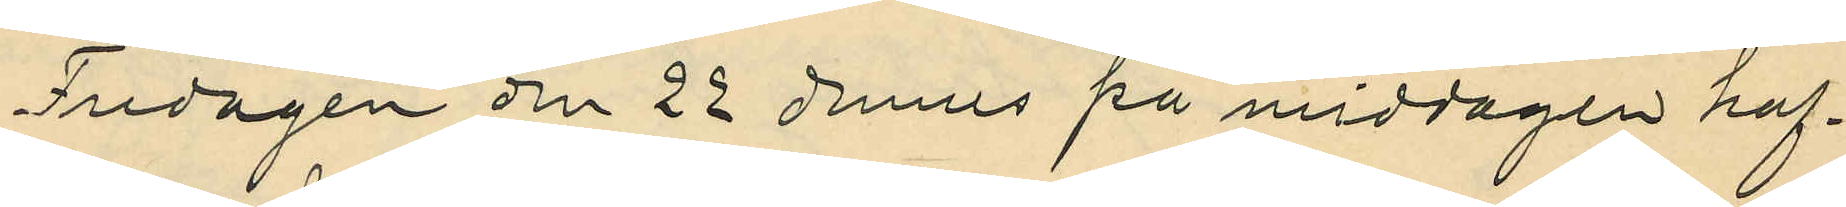Fredagen den 22 dennes på middagen haf¬
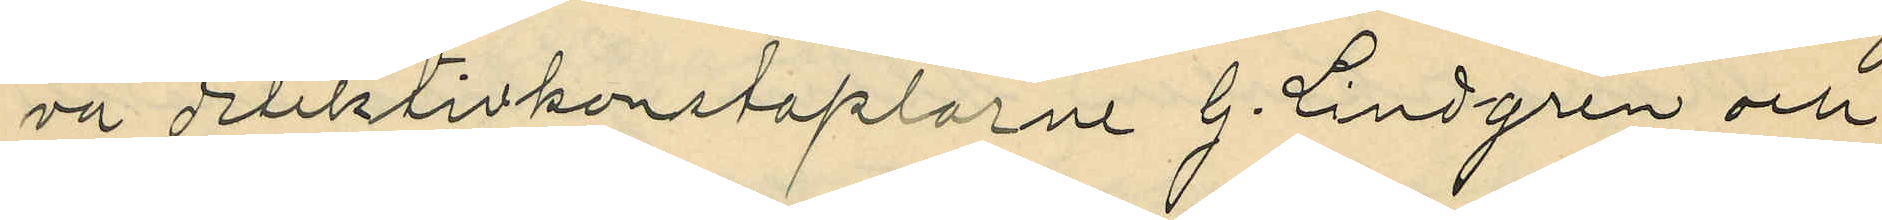va detektivkonstaplarne G. Lindgren och
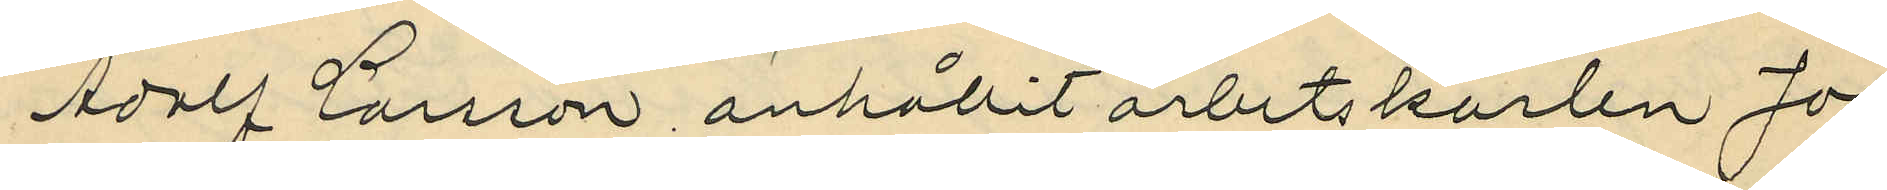Adolf Larsson anhållit arbetskarlen Jo¬
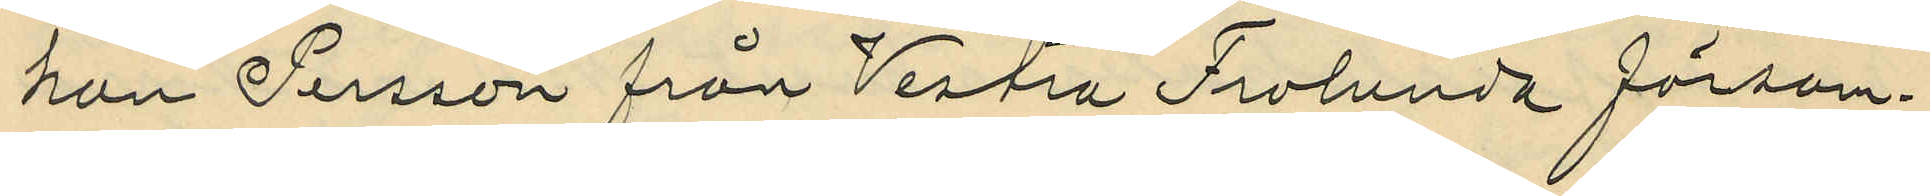han Persson från Vestra Frolunda försam¬
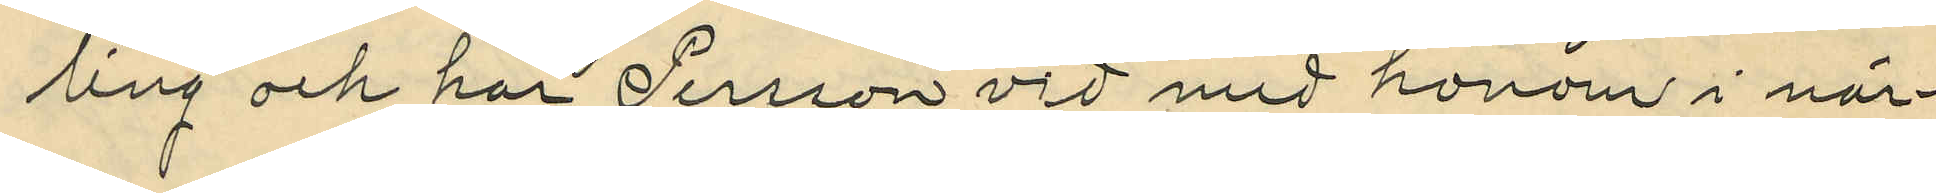ling och har Persson vid med honom i när¬
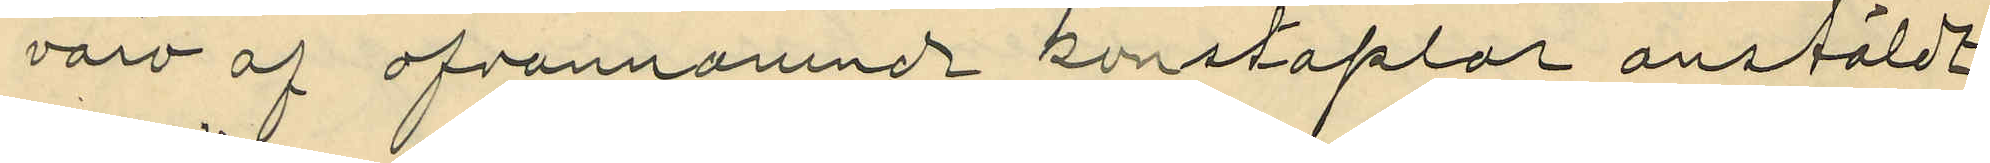varo af ofvannämnde konstaplar anstäldt
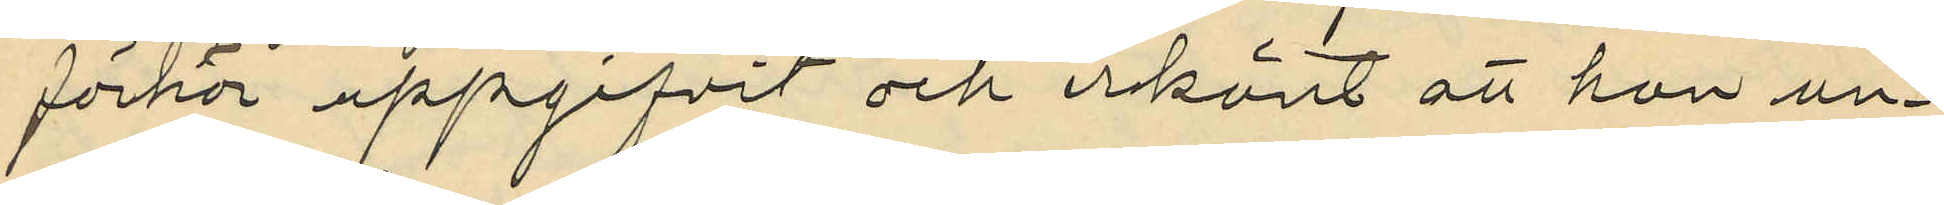förhör uppgifvit och erkänt att han un¬
